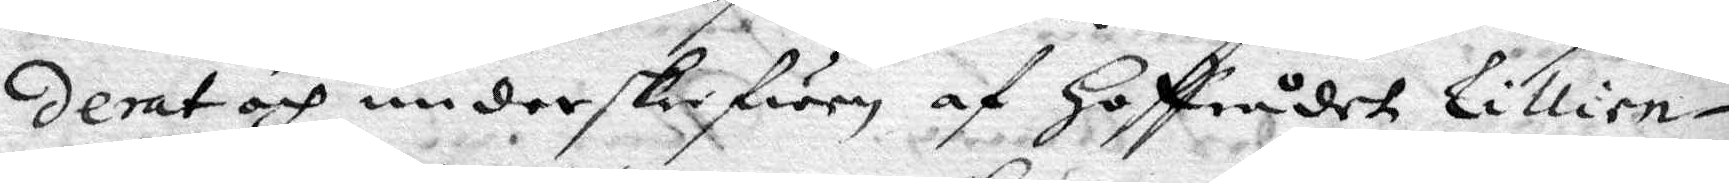derat och underskrefwen af Hoffrådet Lillien¬
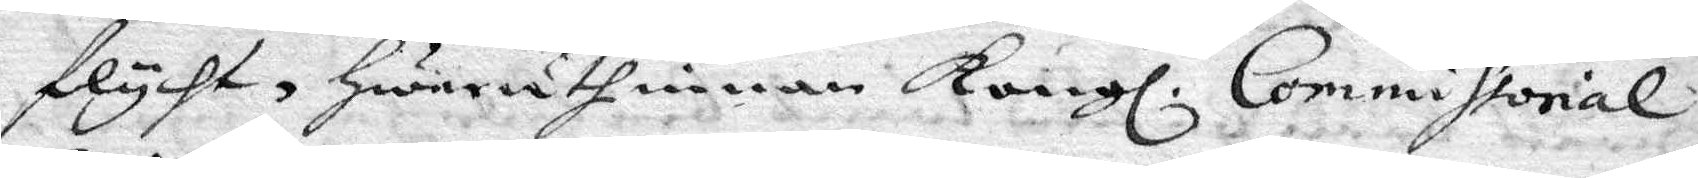flycht, hwaruthinnan Kongl. Commissorial¬
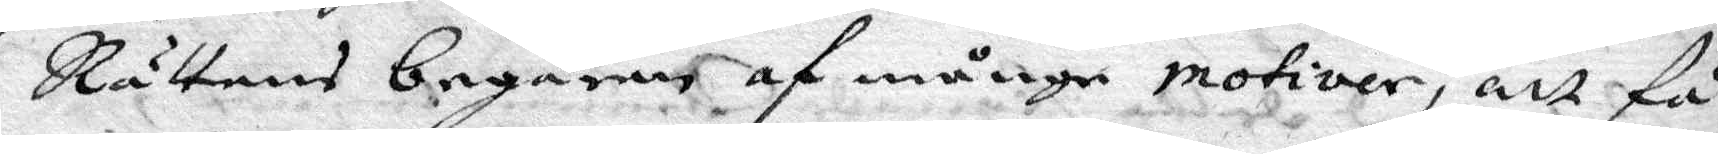Rättens begäran af många motiver, at Få
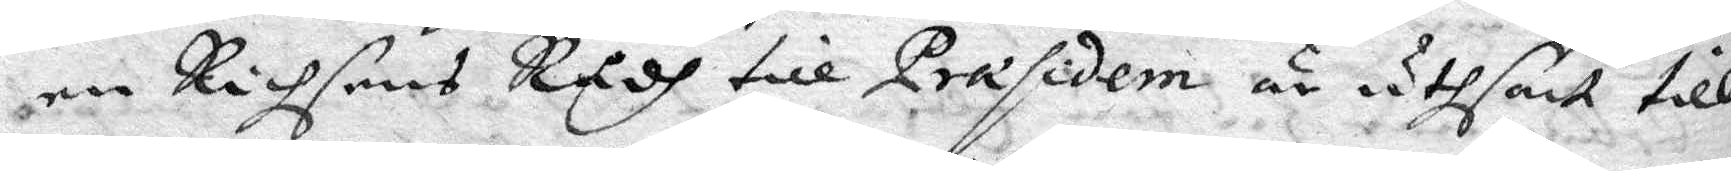en Richsens Rådh till Præsidem är uthsatt till
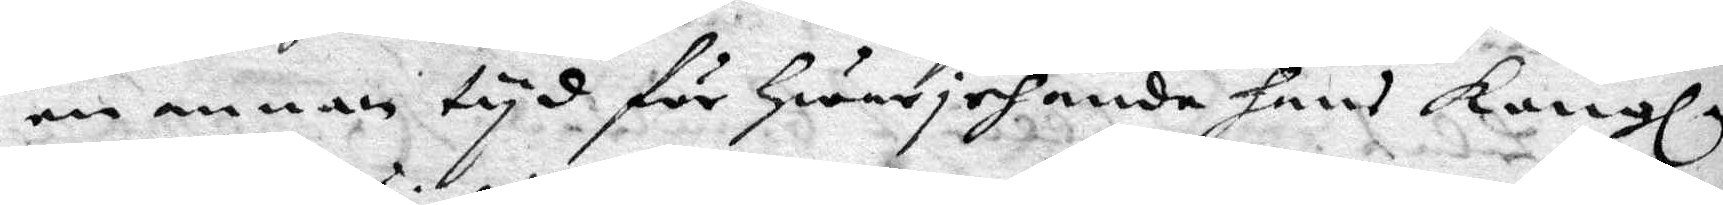en annan tyd för hwarjehanda hans Kongl.
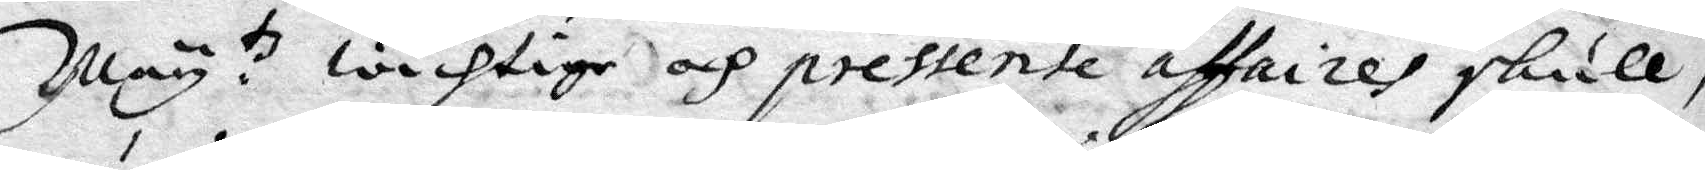May.tz wichtige och pressente affaires skulle
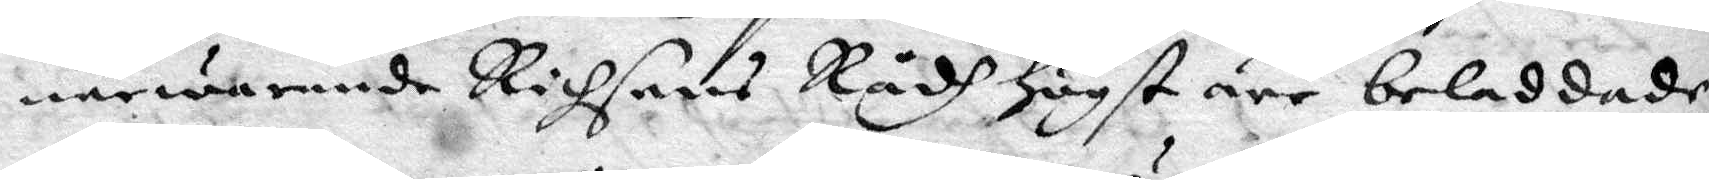närwarande Richsens Rådh högst äre beladdade,
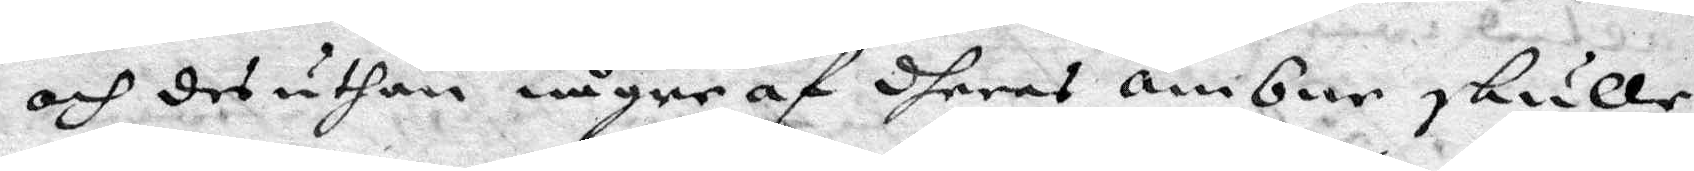och des uthan någre af dheras ämbar skulle
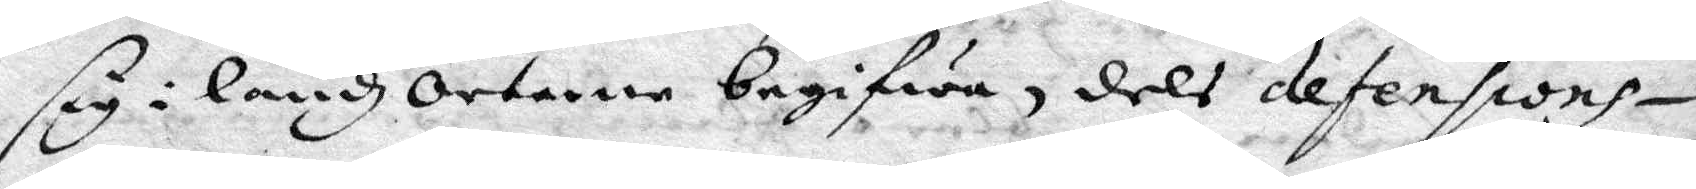sig i landzorterne begifwa, dels defensions¬
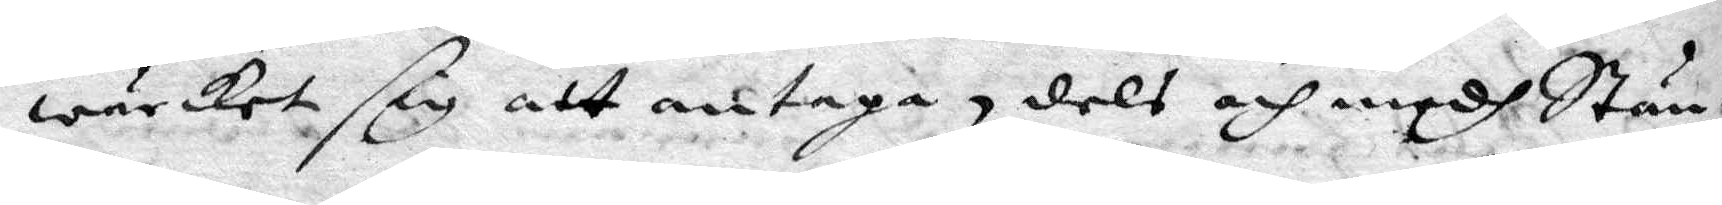wärket sig att antaga, dels och medh Stän¬
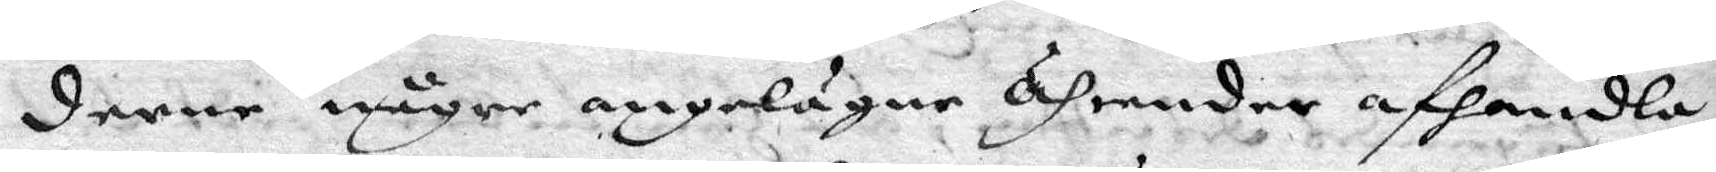derne någre angelägne Ährender afhandla;
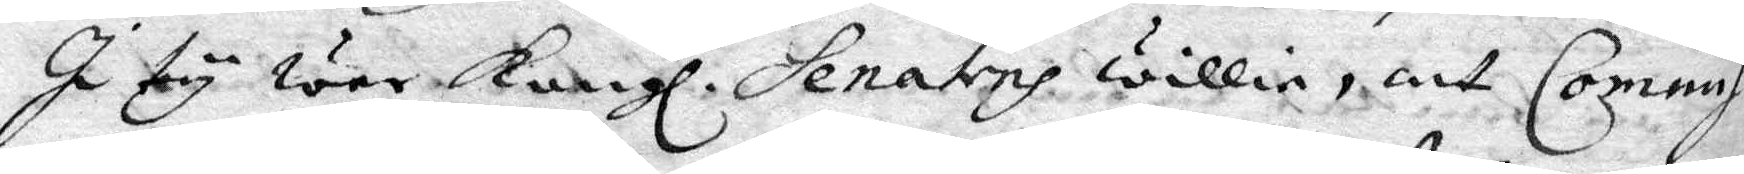I ty war Kongl. Senats willia, att Commis¬
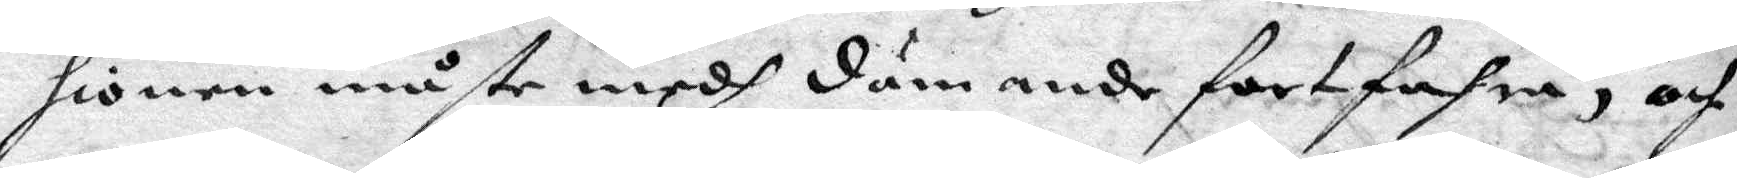sionen måste medh dömande fortfahra, och
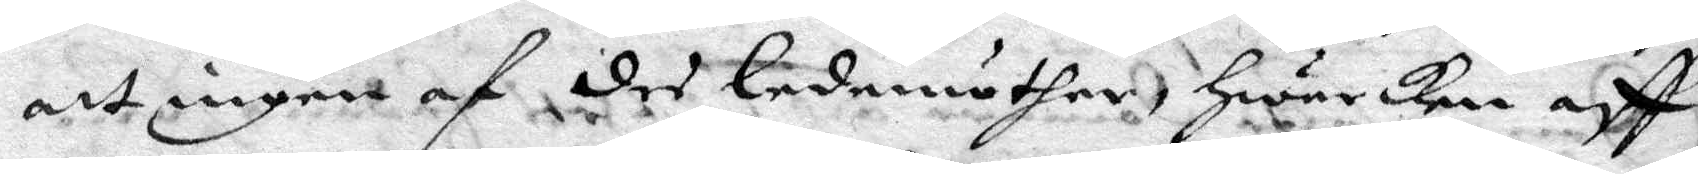att ingen af des ledamöther, hwarken aff
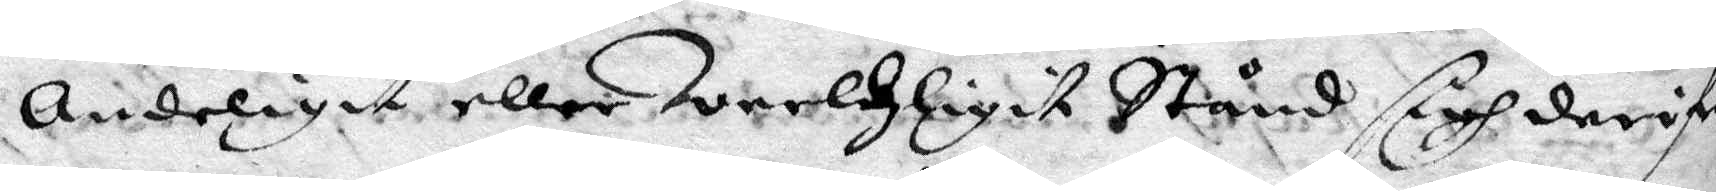Andeligit eller Werldzligit Stånd sigh derifrå
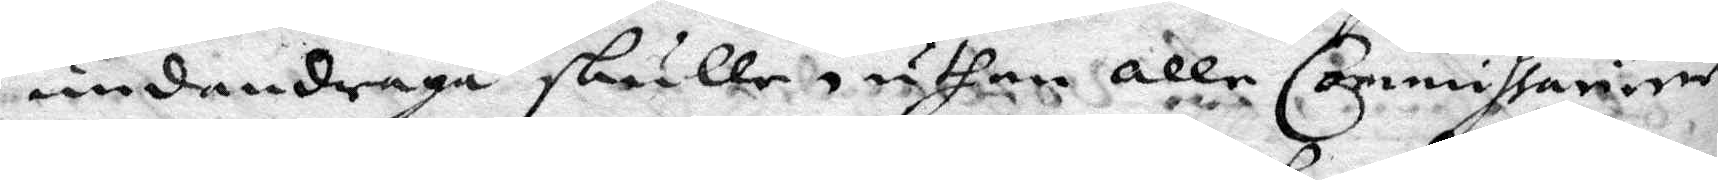undandraga skulle, uthan alle Commissarier
